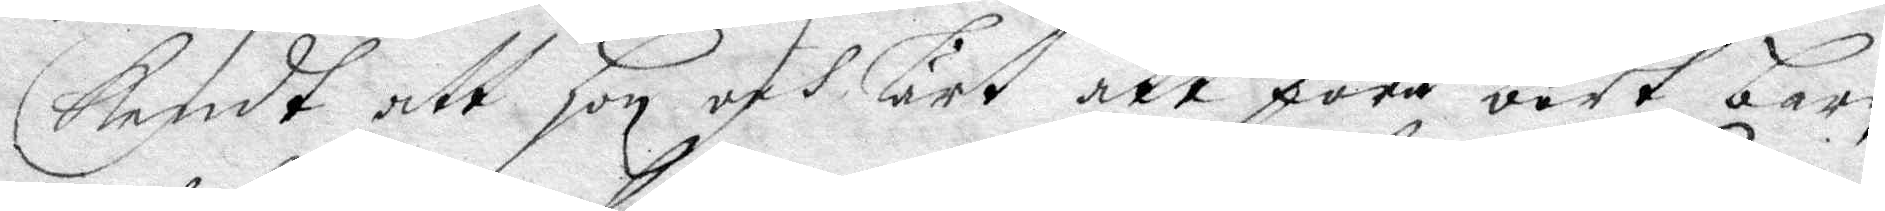bendt att hon och lärt att föra bort barn
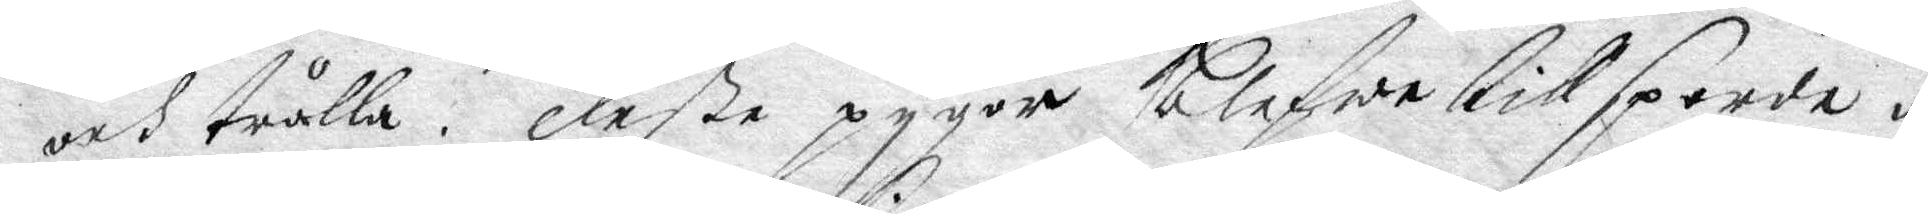och trålla. Deße pygor blefwe tillsporde om
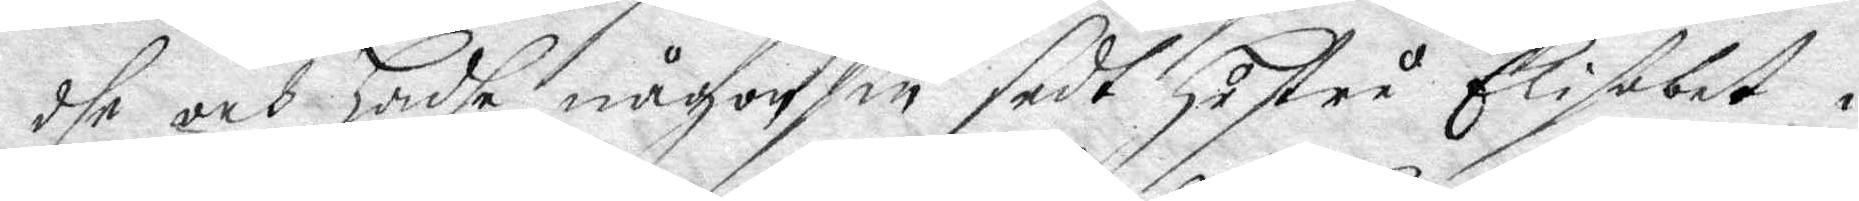dhe och hadhe någonsin sedt hustru Elisabet i
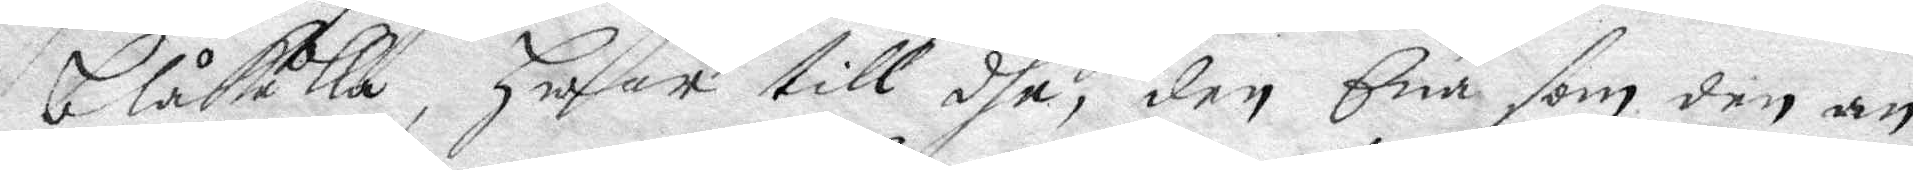blåkulla, hwar till dhe den Ene som den an¬
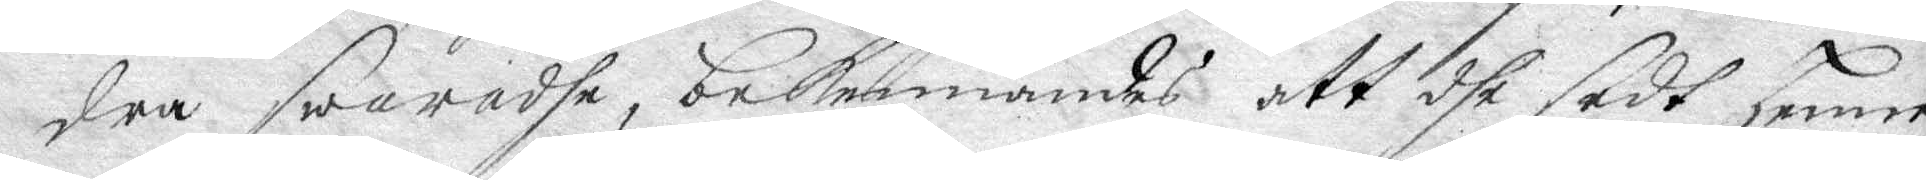dra swaradhe, bekennandes att dhe sedt henne
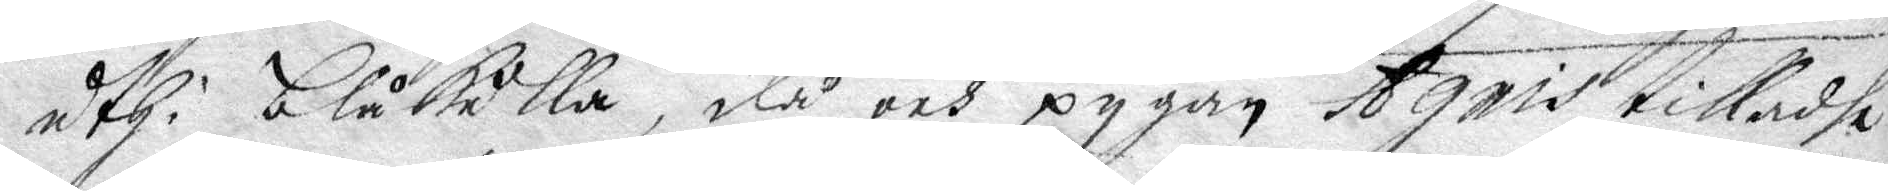uthi blåkulla, då och pygan Agnis tilladhe
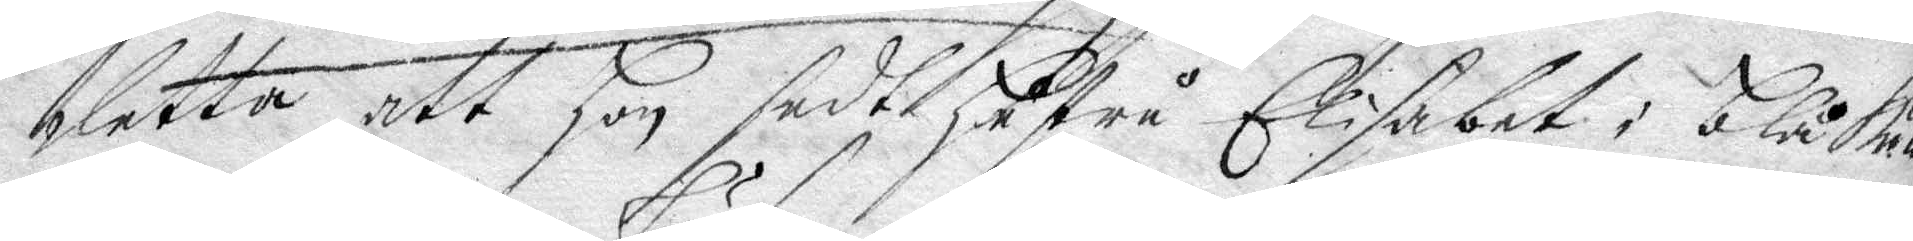detta, att hon sedt hustru Elisabet i blåkulla
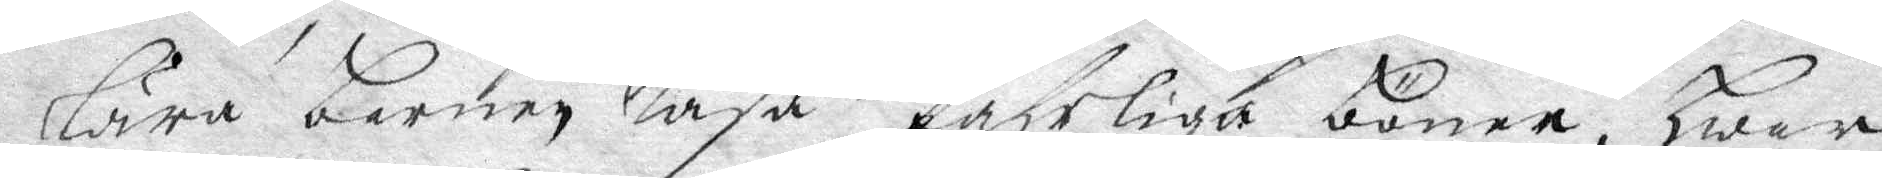lära barnen läsa fahrliga böner, hwar¬
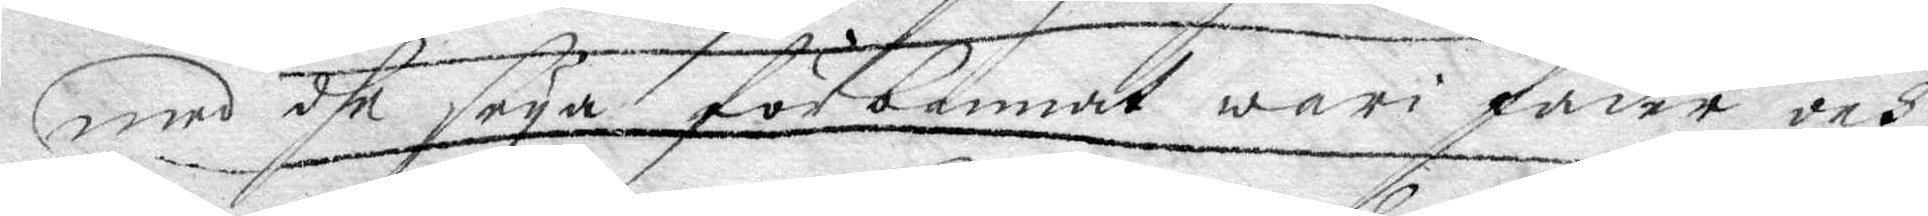med dhe seya förbannat wari fader och
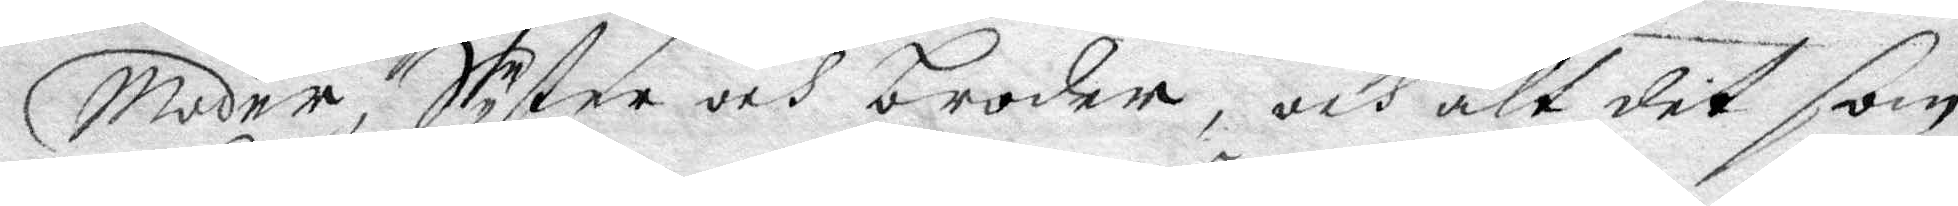moder, Syster och broder, och alt det som
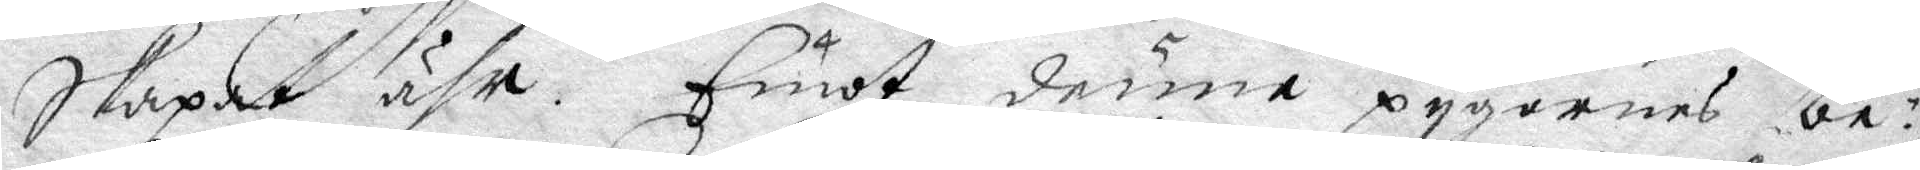skapat ähr. Emot denne pygans be¬
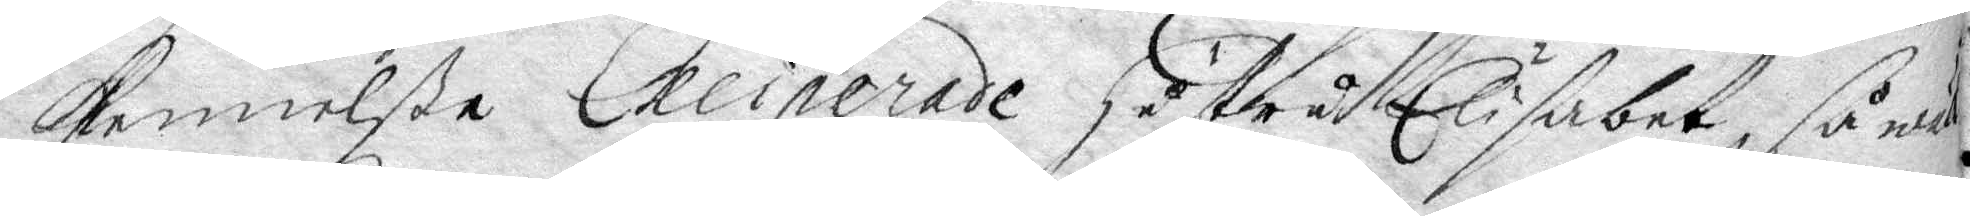kennelße Exciperade hustru Elisabet, såwäl
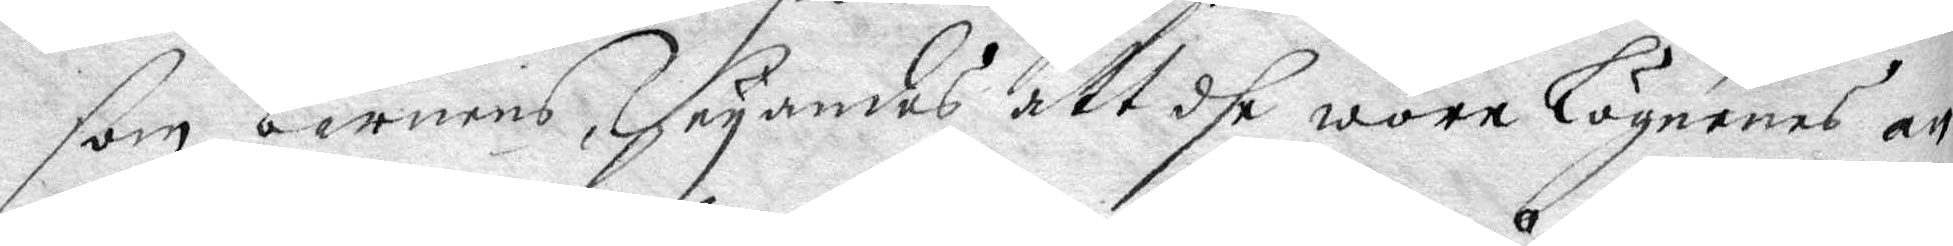som barnens, säyandes att dhe wore lögnenes an¬
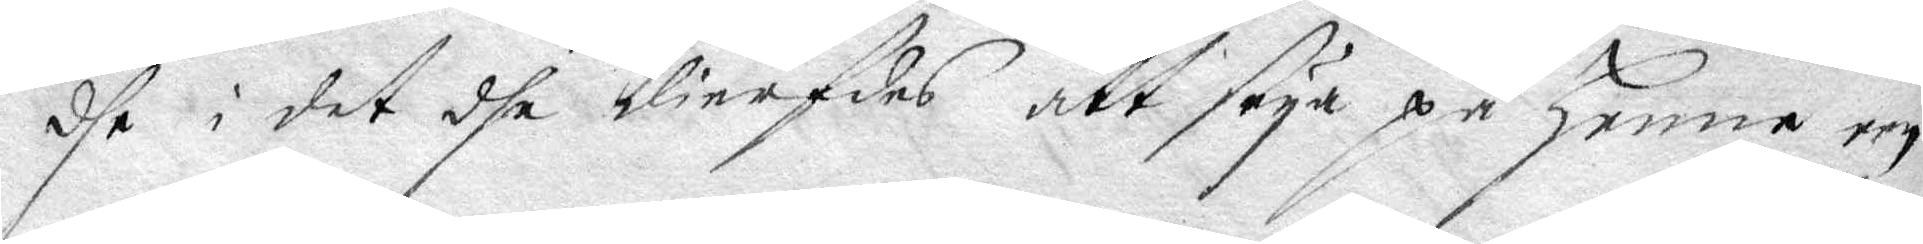dhe i det dhe dierfdes att säya på henne een
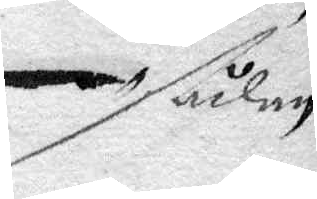ådan
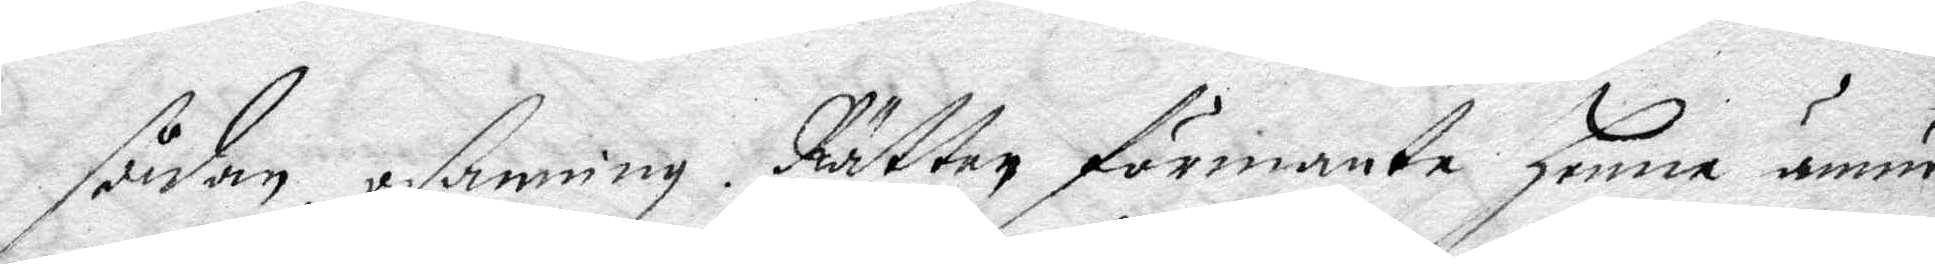sådan osanning. Rätten förmante henne ännu
